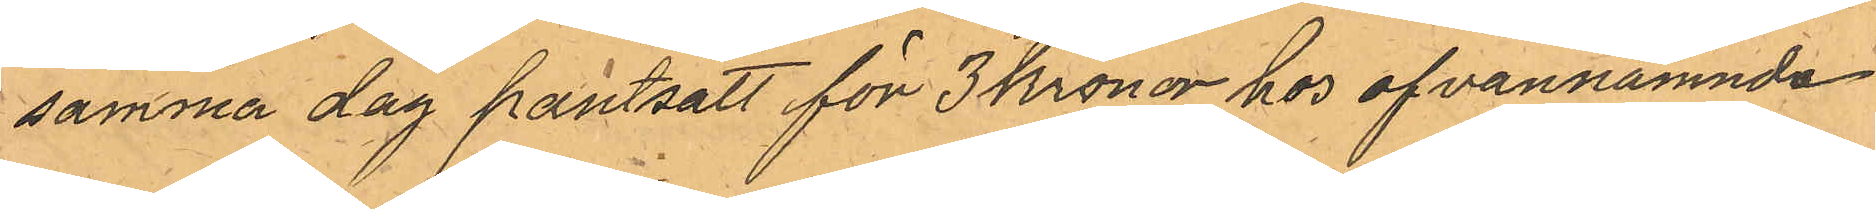samma dag pantsatt för 3 Kronor hos ofvannämnda
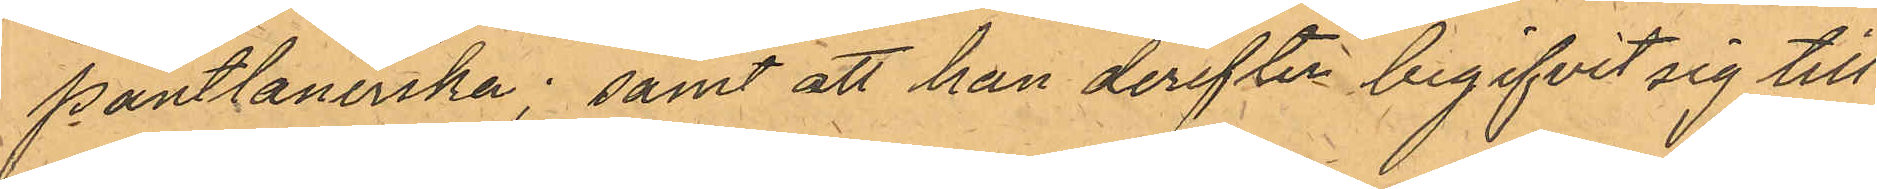pantlanerska; samt att han derefter begifvit sig till
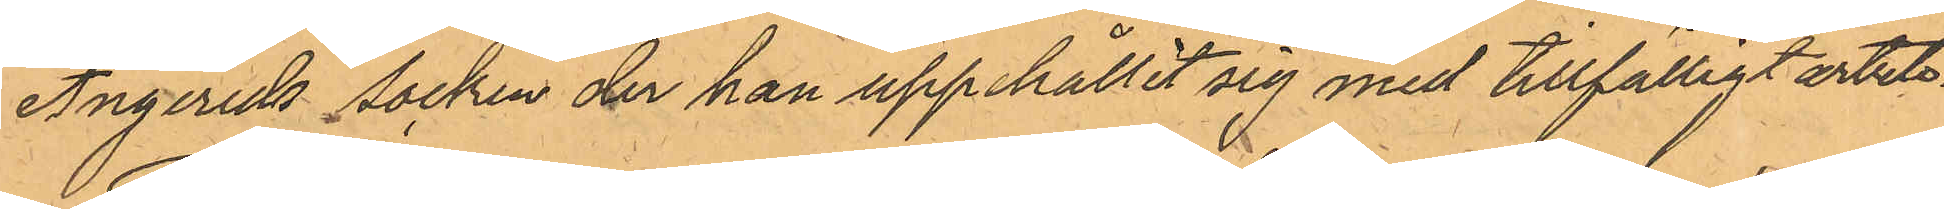Angereds Socken der han uppehållit sig med tillfälligt arbete.
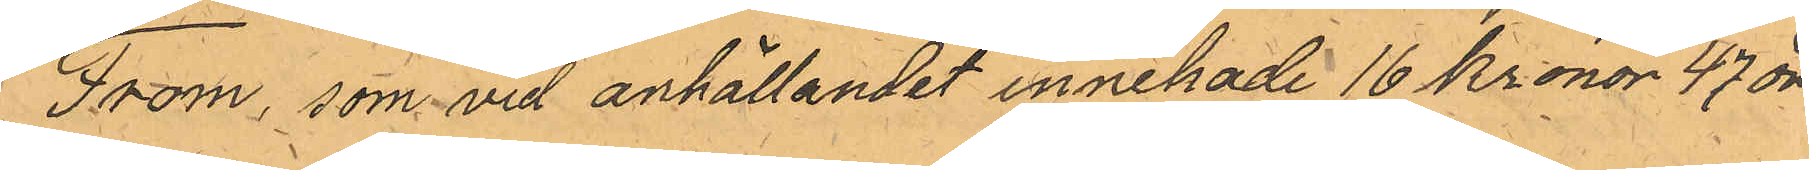From, som vid anhållande innehade 16 Kronor 47 öre
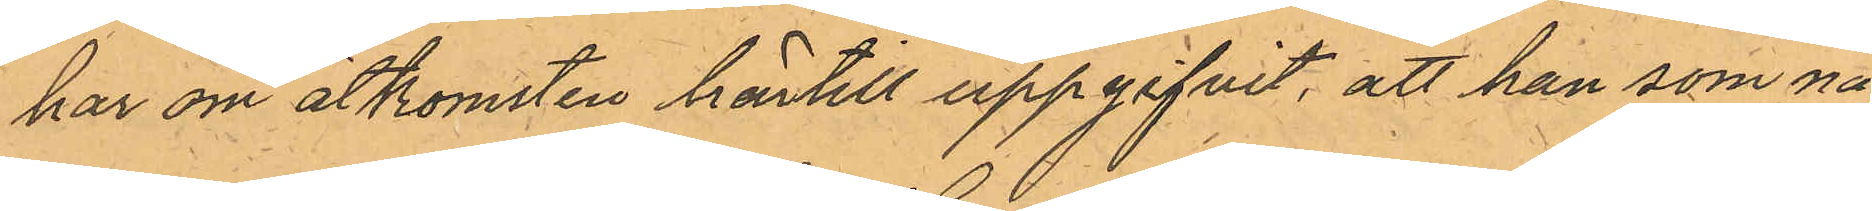har om åtkomsten härtill uppgifvit, att han som nå¬
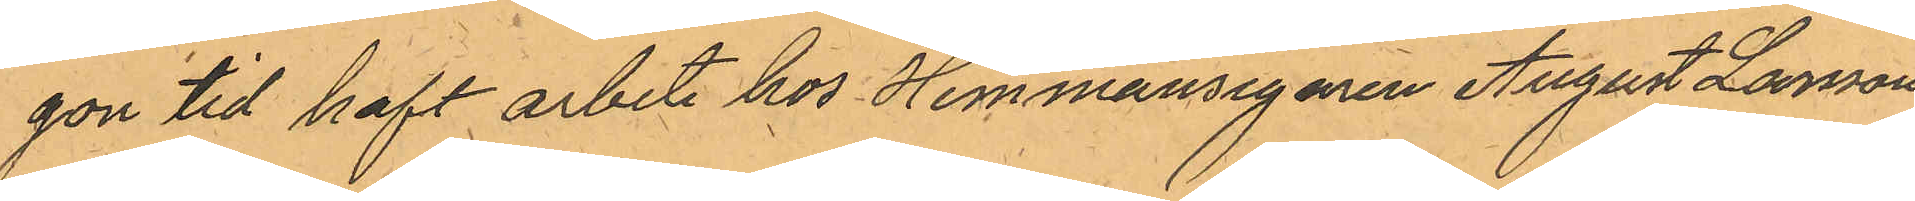gon tid haft arbete hos Hemmansegaren August Larsson
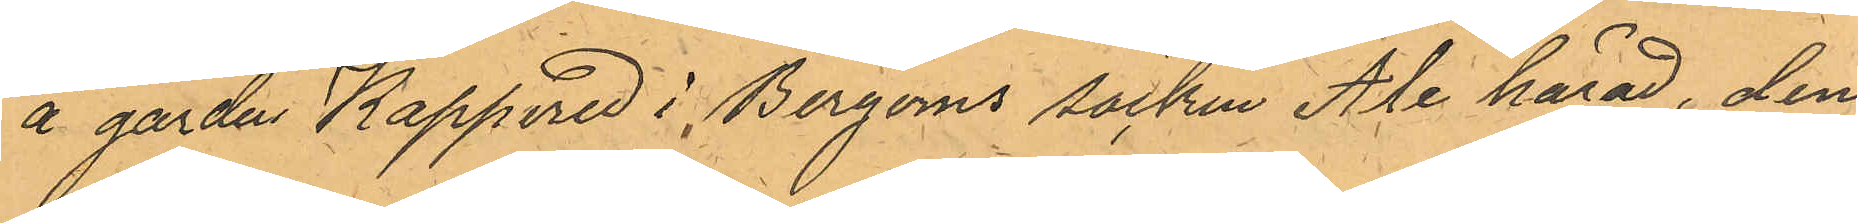å gården Kappered i Bergoms socken Ale härad, den
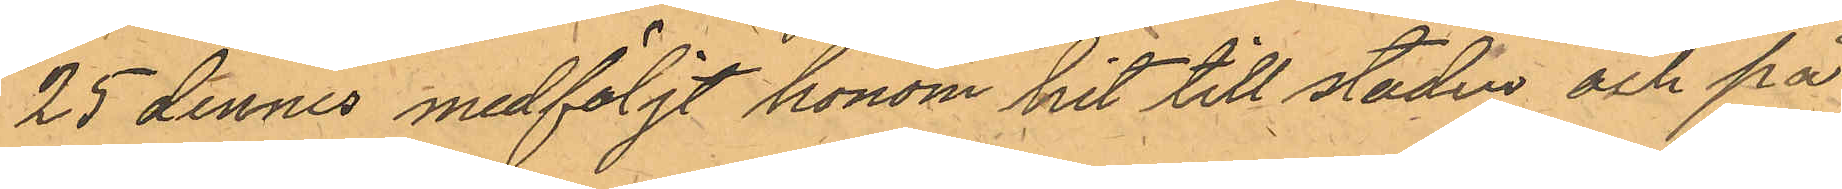25 dennes medföljt honom hit till staden och på
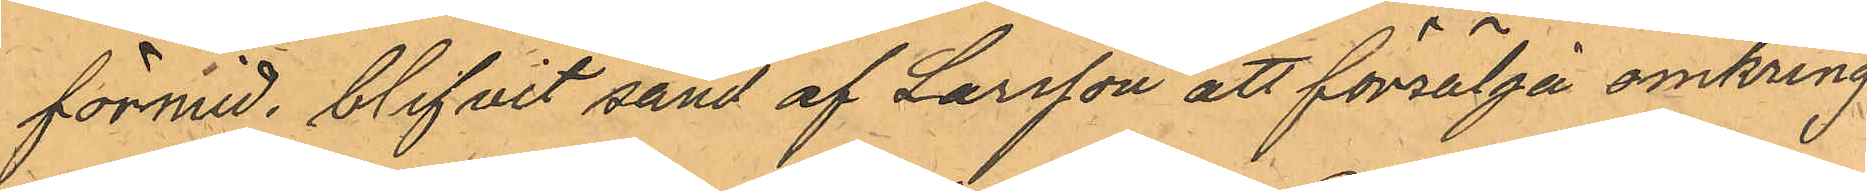förmid. blifvit sänd af Larsson att försälja omkring
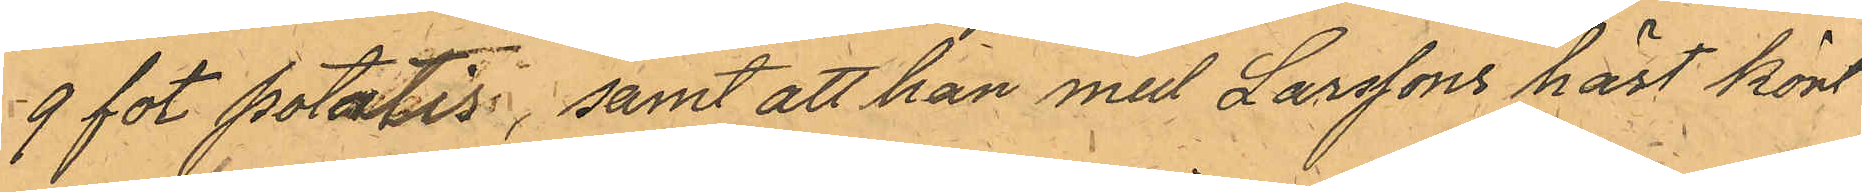9 fot potatis, samt att han med Larssons häst kört
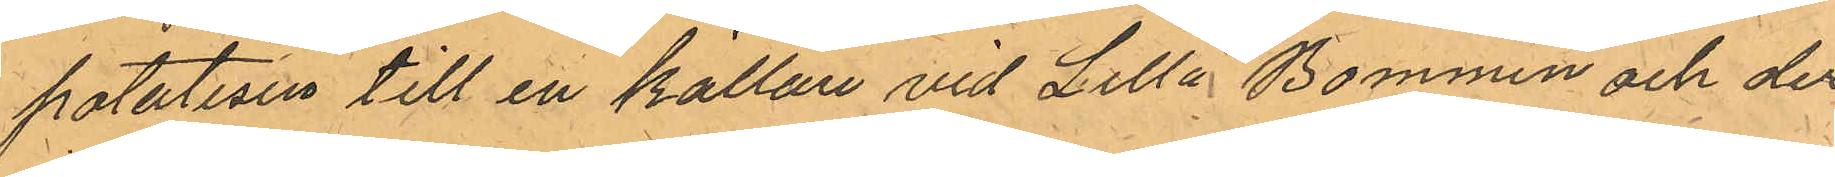potatisen till en källare vid Lilla Bommen och der
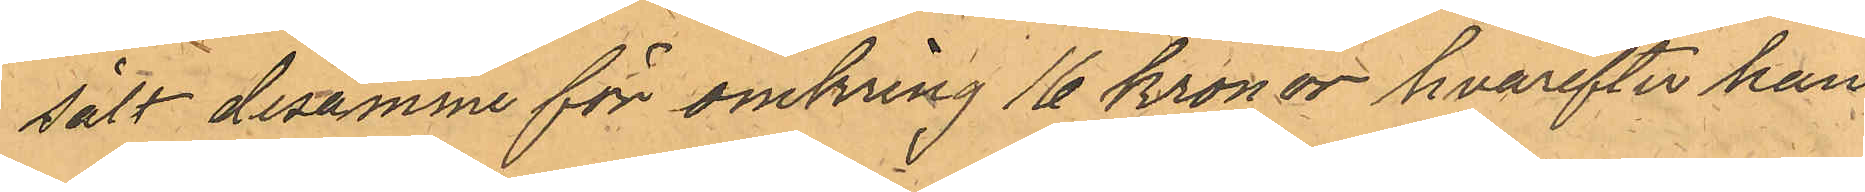sålt desamme för omkring 16 kronor hvarefter han
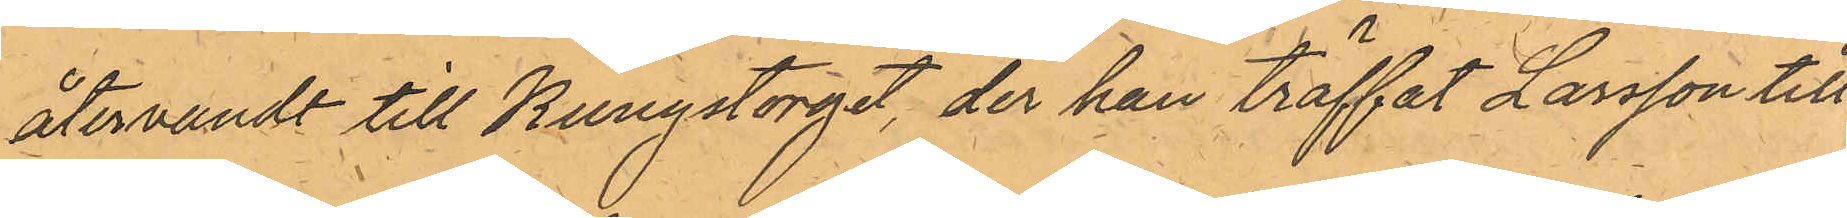återvandt till Kungstorget, der han träffat Larsson till
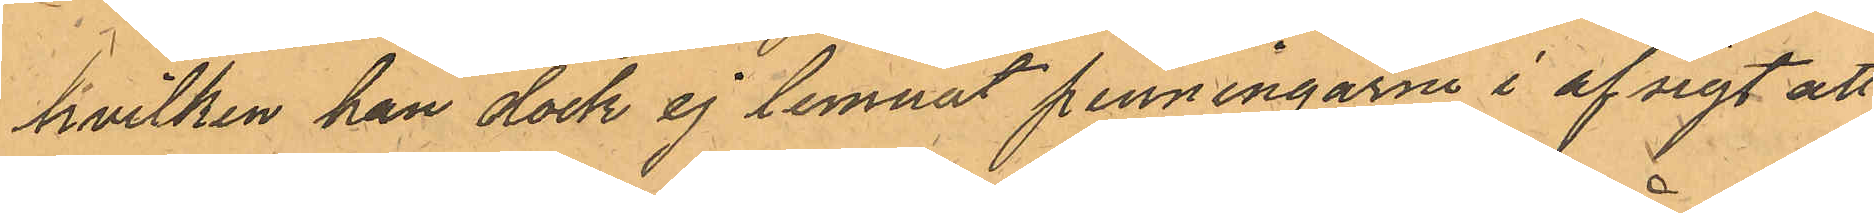hvilken han dock ej lemnat penningarne i afsigt att
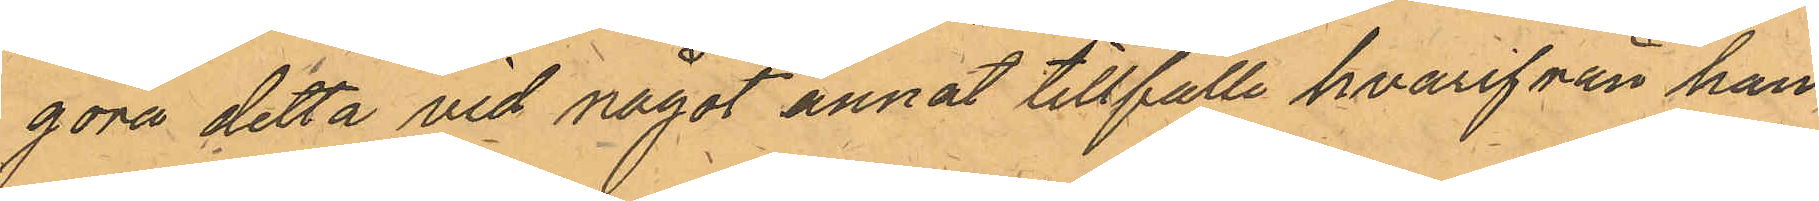göra detta vid något annat tillfälle hvarifrån han
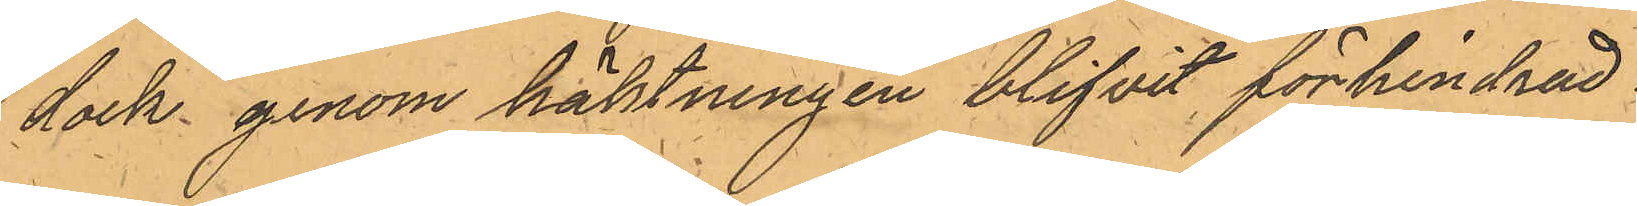dock genom häktningen blifvit förhindrad.
